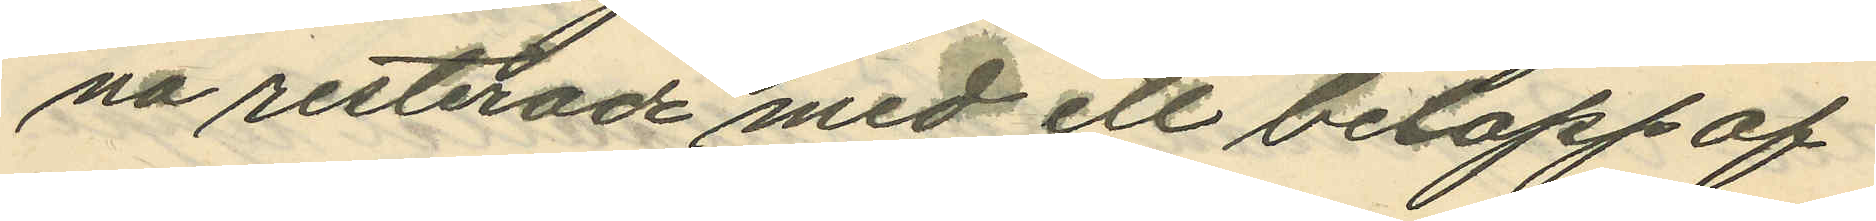na resterade med ett belopp af
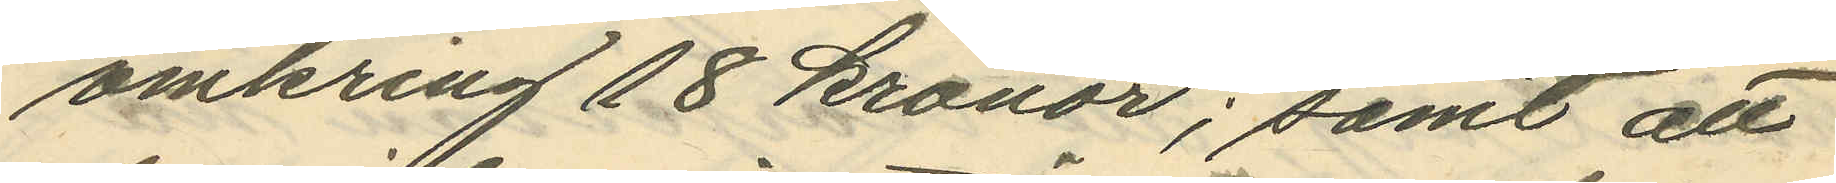omkring 18 kronor; samt att
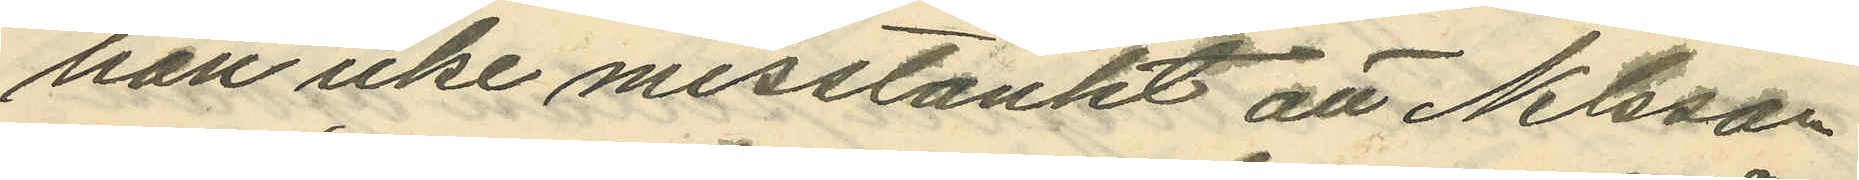han icke misstänkt att Nilsson
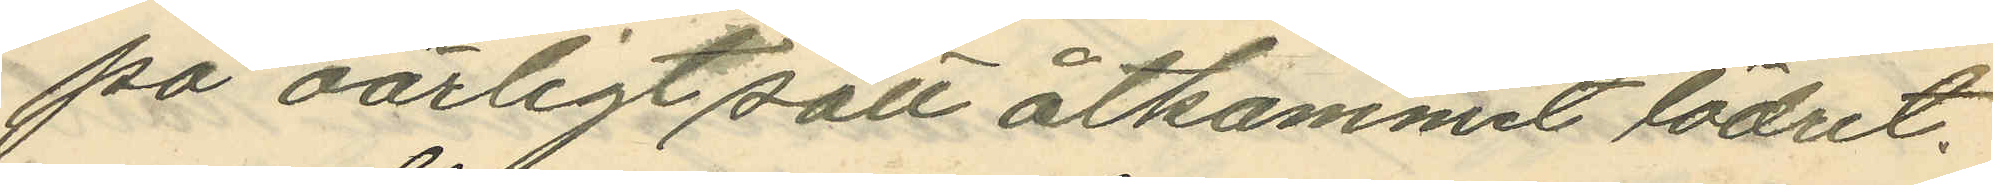på oärligt sätt åtkommit lädret.
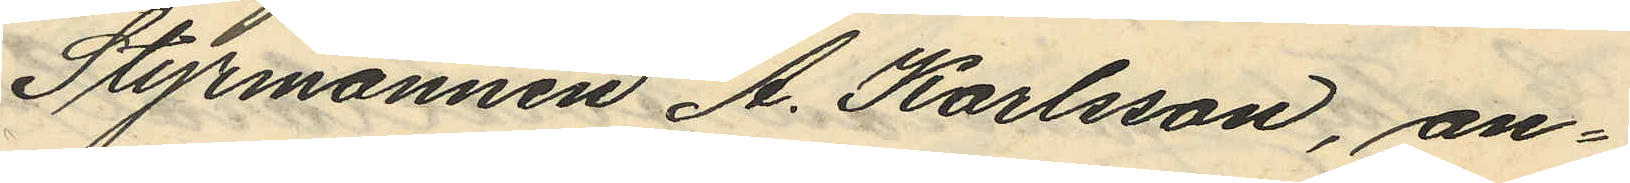Styrmannen A. Karlsson, an¬
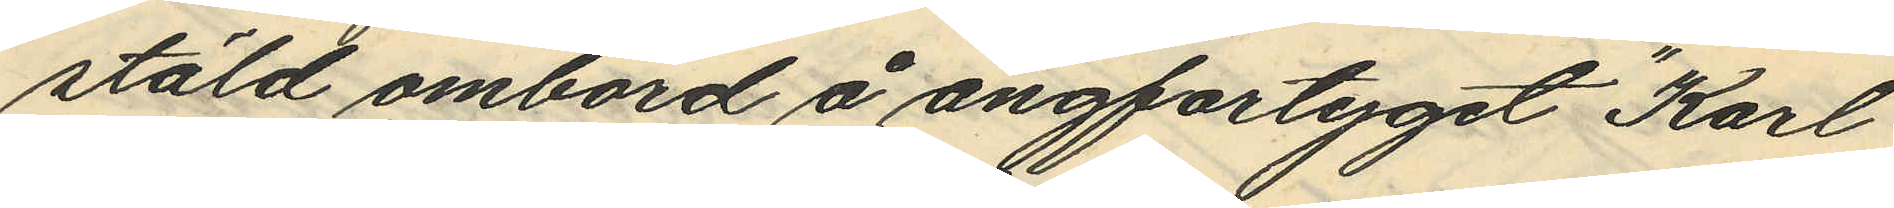stäld ombord å ångfartyget "Karl
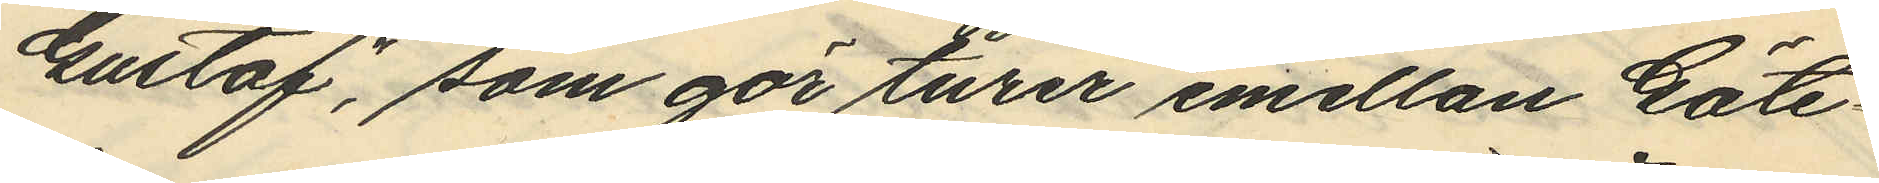Gustaf", som gör turer emellan Göte¬
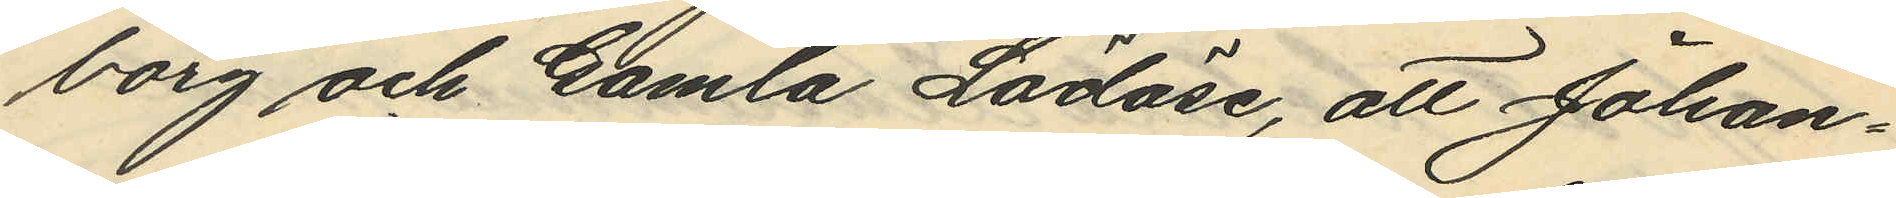borg och Gamla Lödöse, att Johan¬
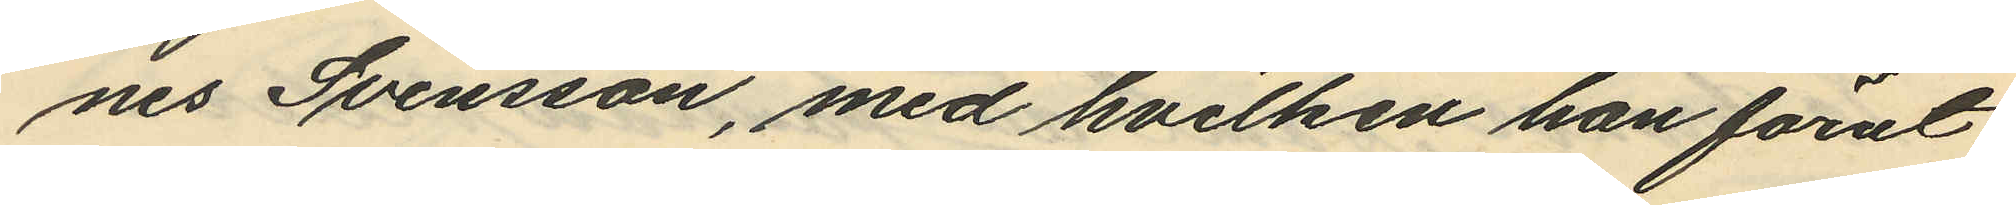nes Svensson, med hvilken han förut
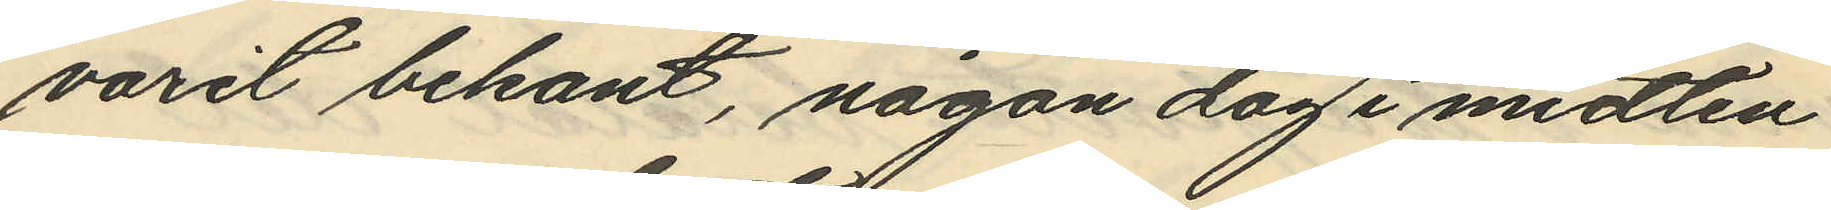varit bekant, någon dag i midten
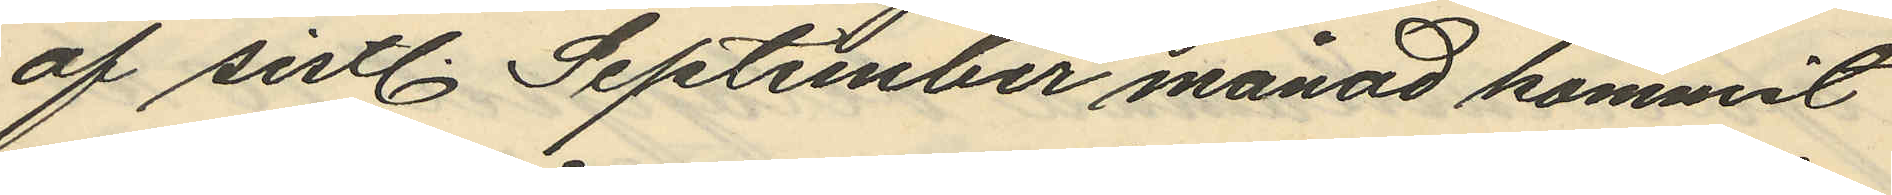af sistl. September månad kommit
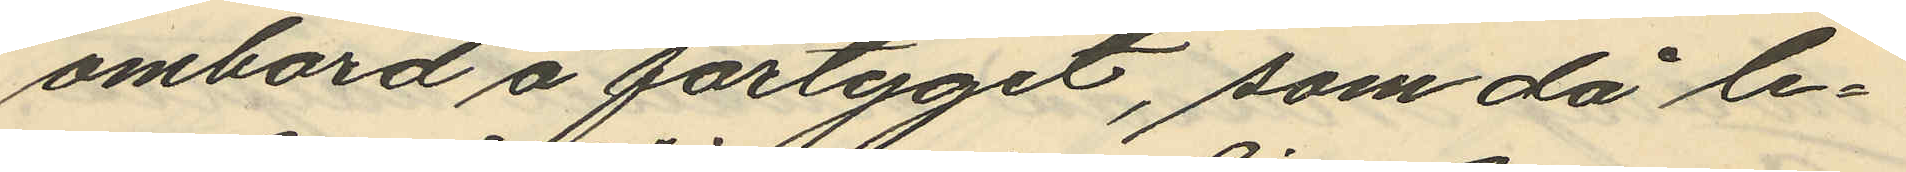ombord å fartyget, som då le¬
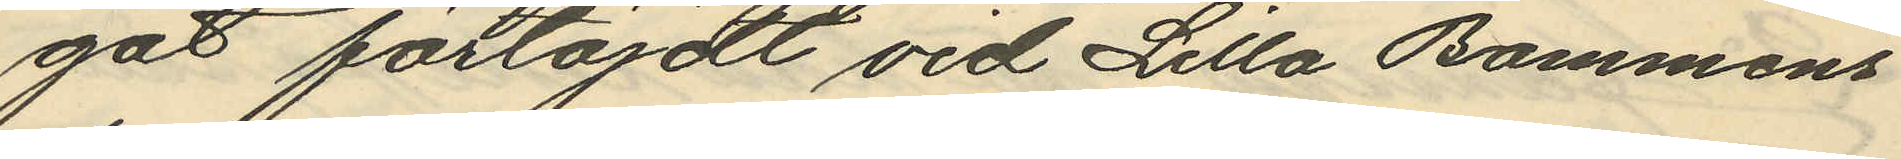gat förtöjdt vid Lilla Bommens
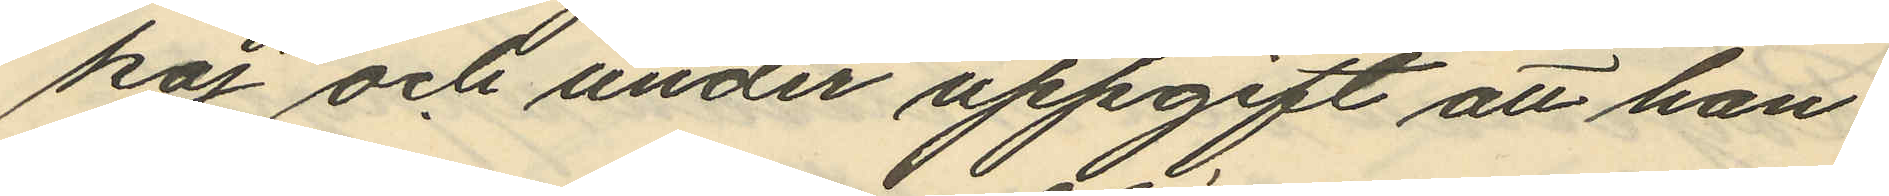kaj och under uppgift att han
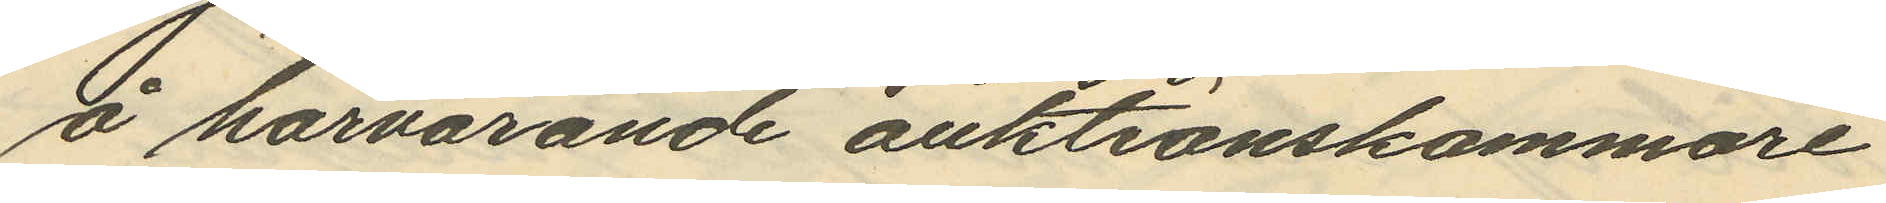å härvarande auktionskammare
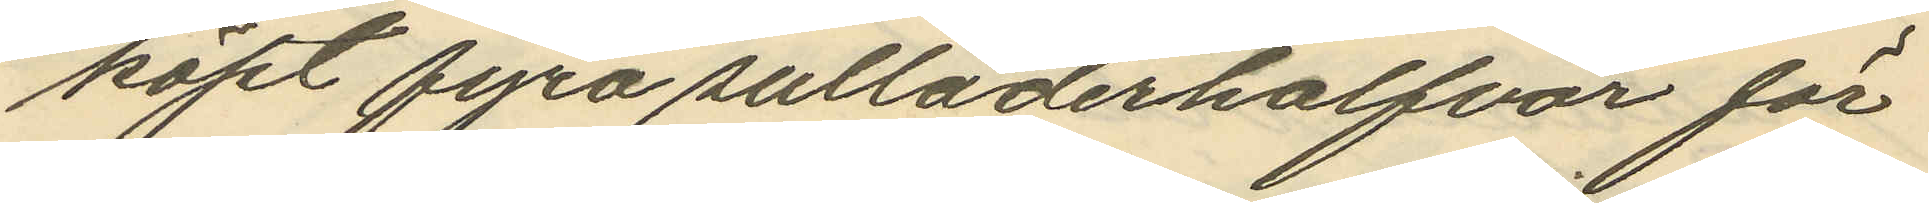köpt fyra sulläderhalfvor för
